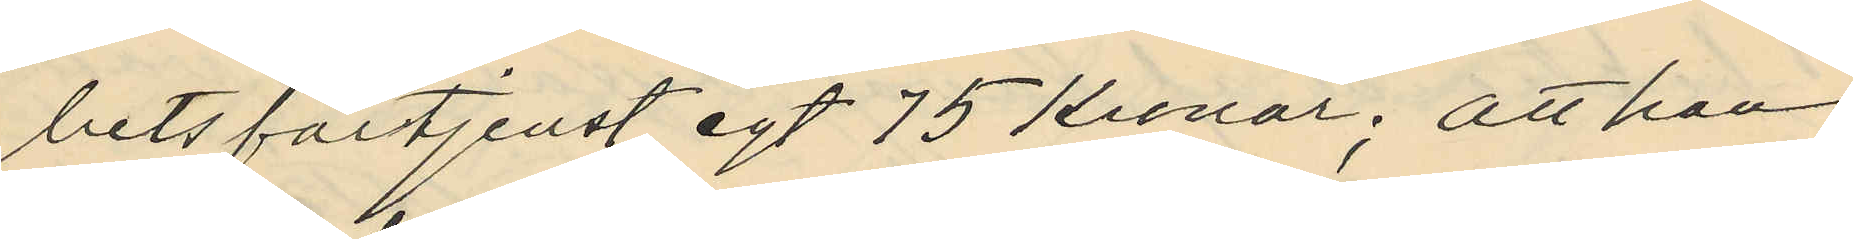betsförtjenst egt 75 Kronor; att han
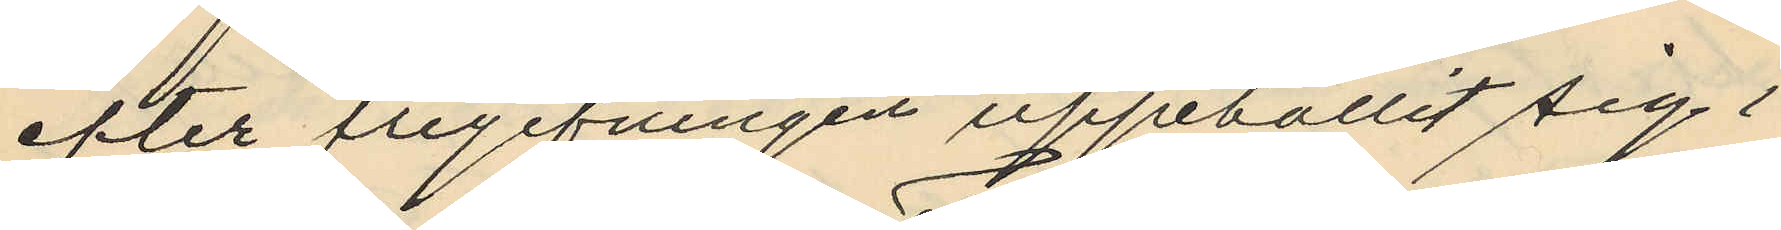efter frigifningen uppehållit sig i
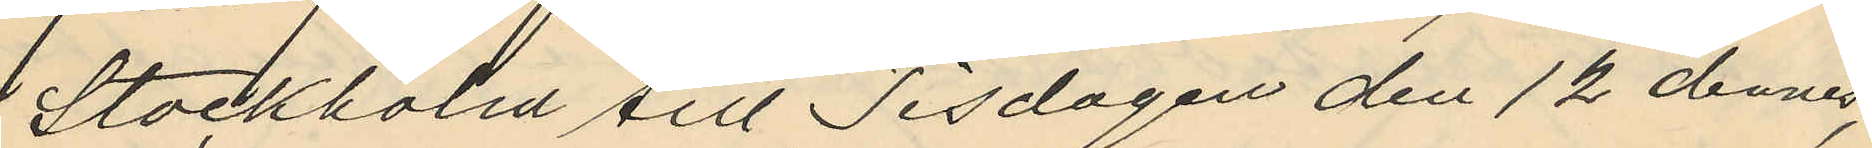Stockholm till Tisdagen den 12 dennes,
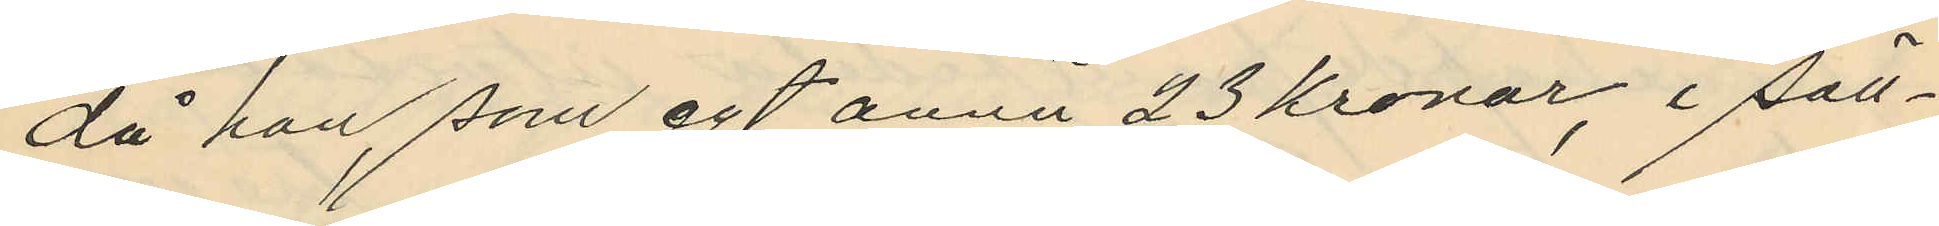då han som egt annu 23 kronor, i säll¬
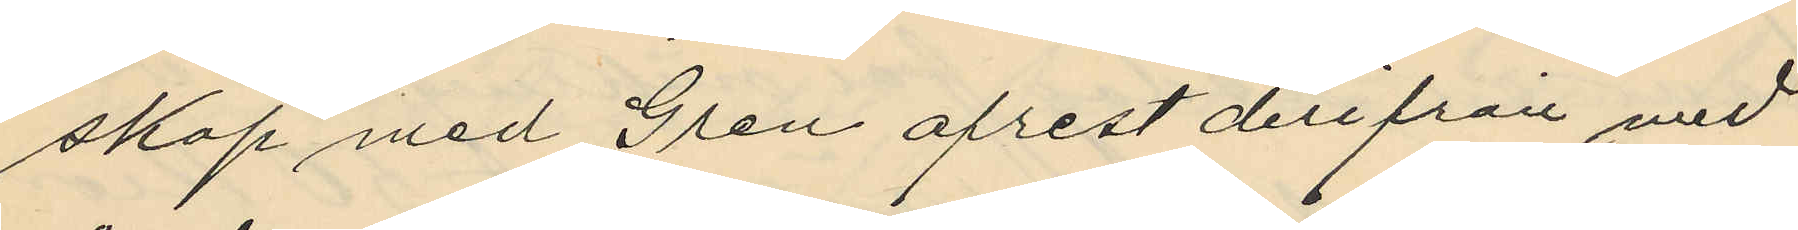skap med Gren afrest derifrån med
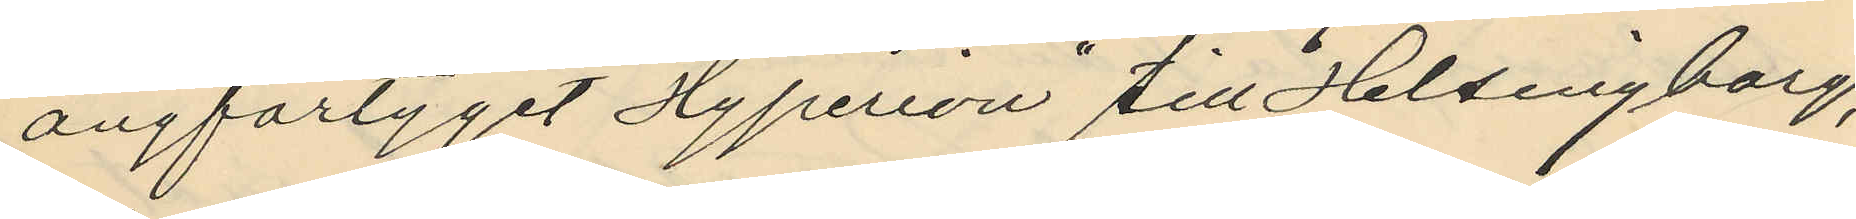ångfartyget "Hyperion" till Helsingborg,
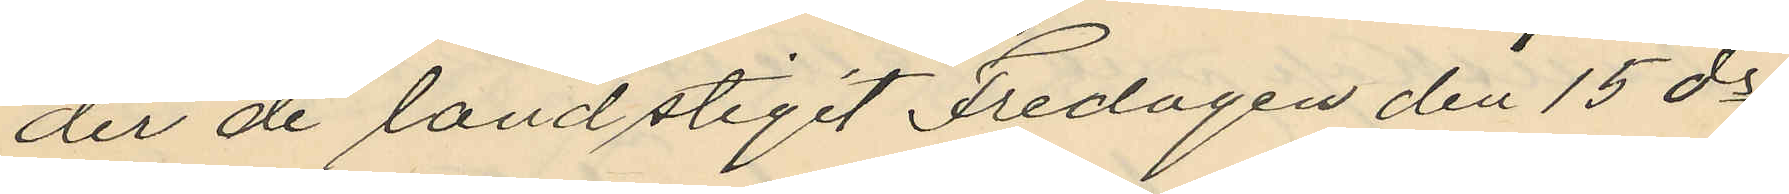der de landstigit Fredagen den 15 ds
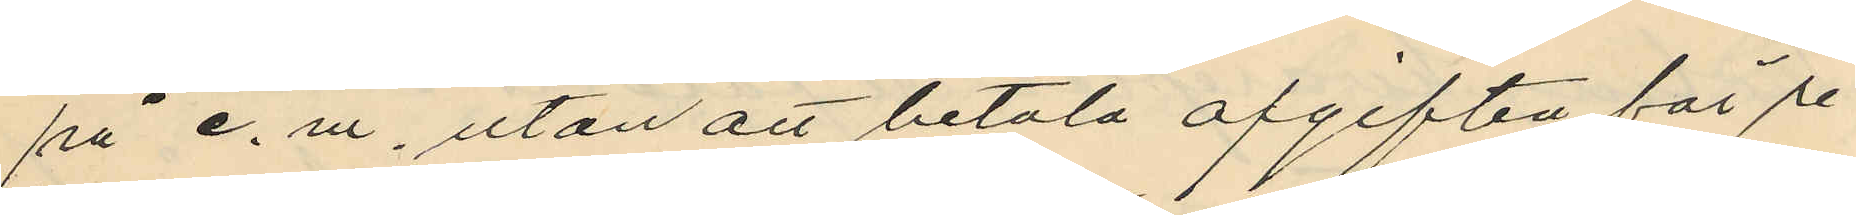på e. m, utan att betala afgiften för re¬
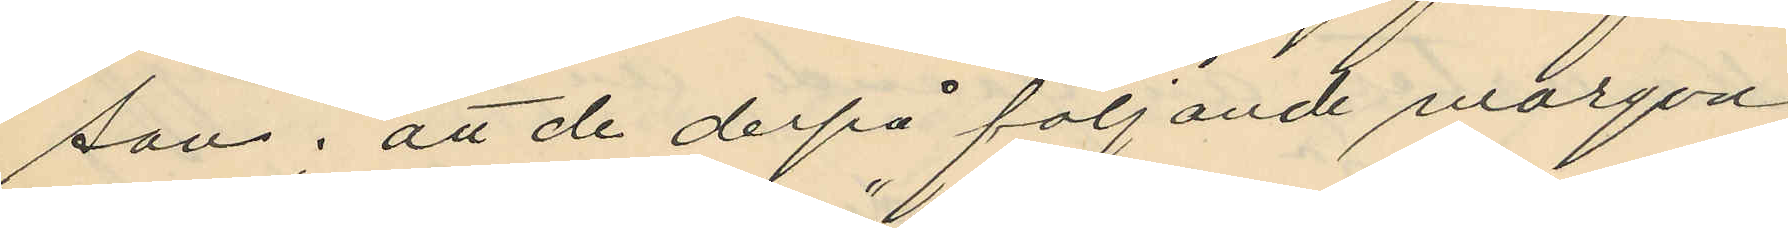san; att de derpå följande morgon
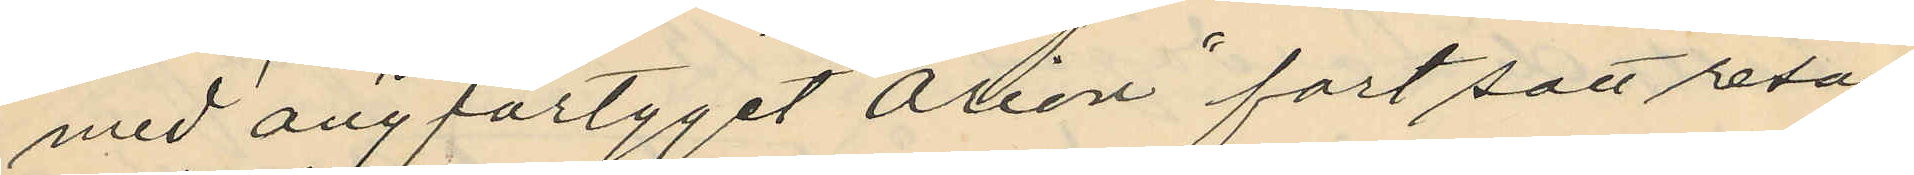med ångfartyget "Orion" fortsatt resan
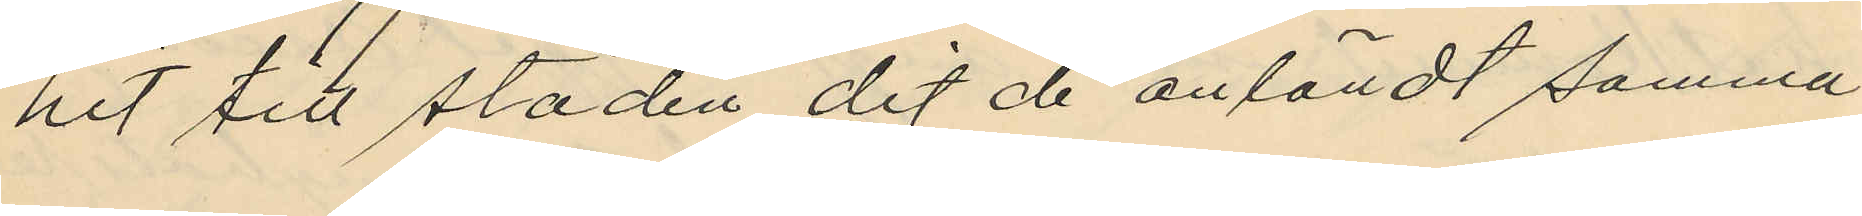hit till staden dit de anländt samma
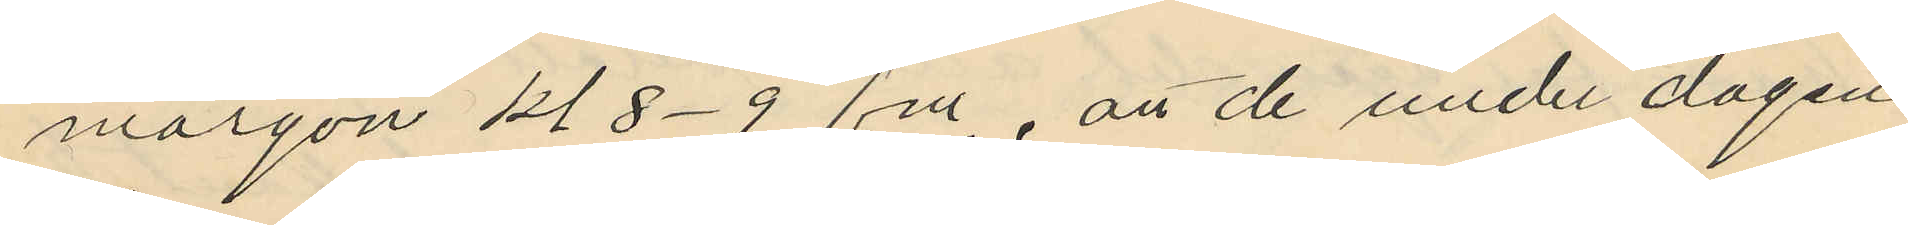morgon kl 8-9 f.m., att de under dagen
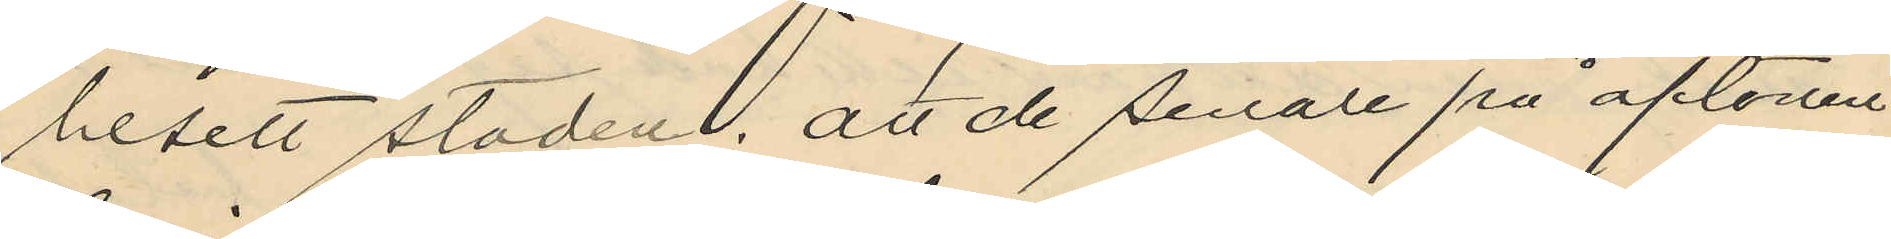besett staden; att de senare på aftonen
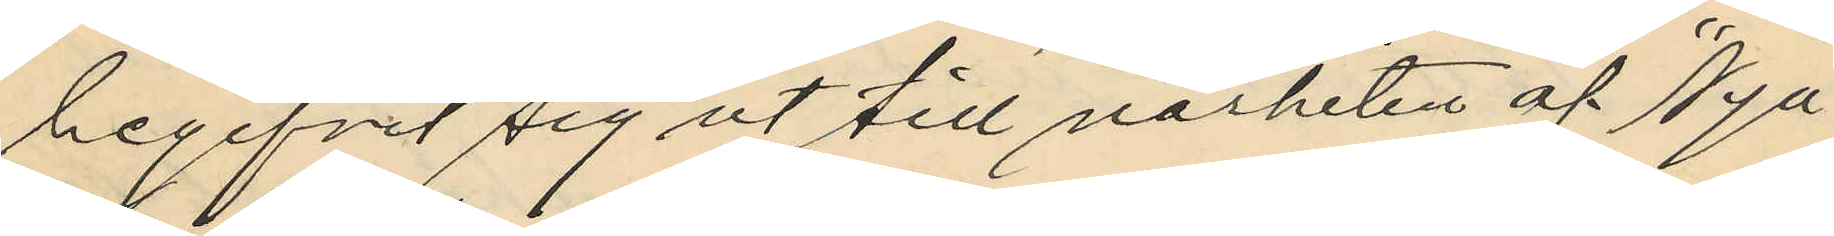begifvit sig ut till närheten af "Nya
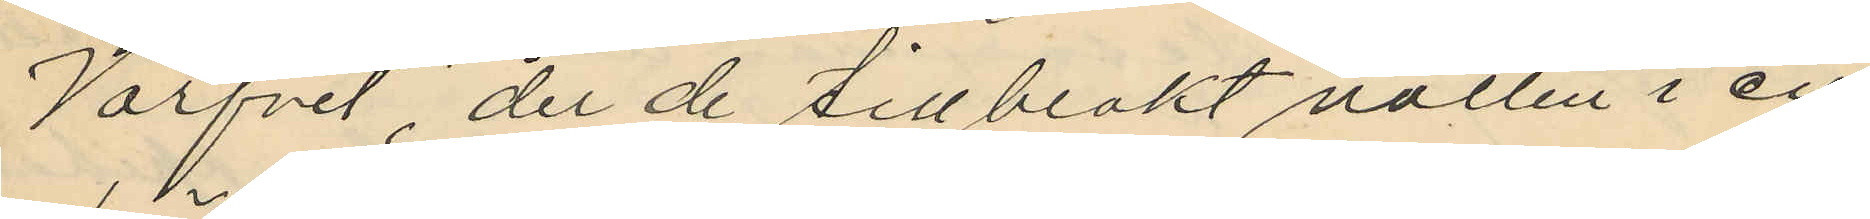Varfvet", der de tillbrakt natten i en
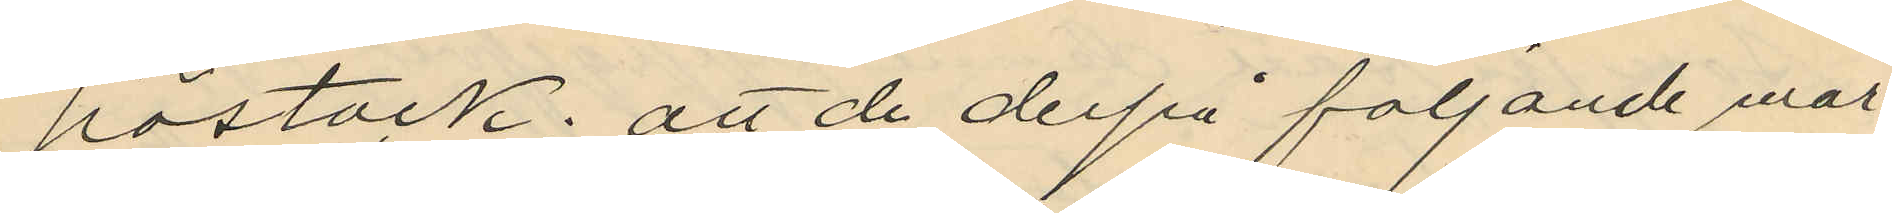höstack; att de derpå följande mor
